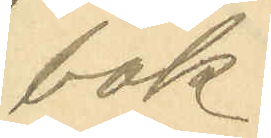bok.
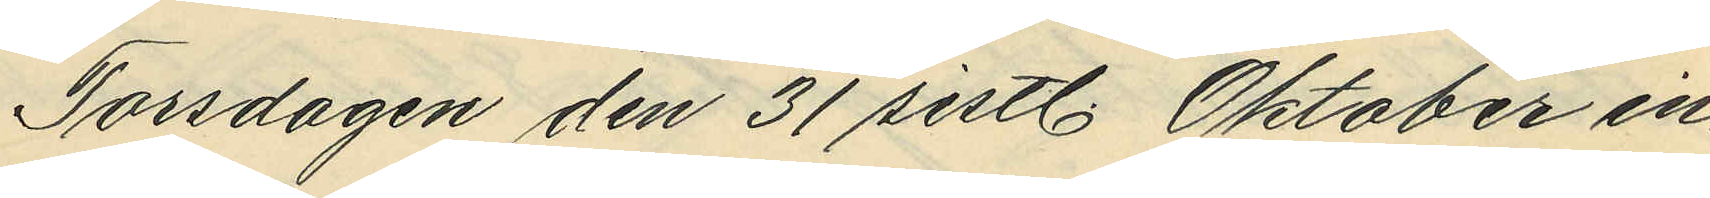Torsdagen den 31 sistl. Oktober in¬
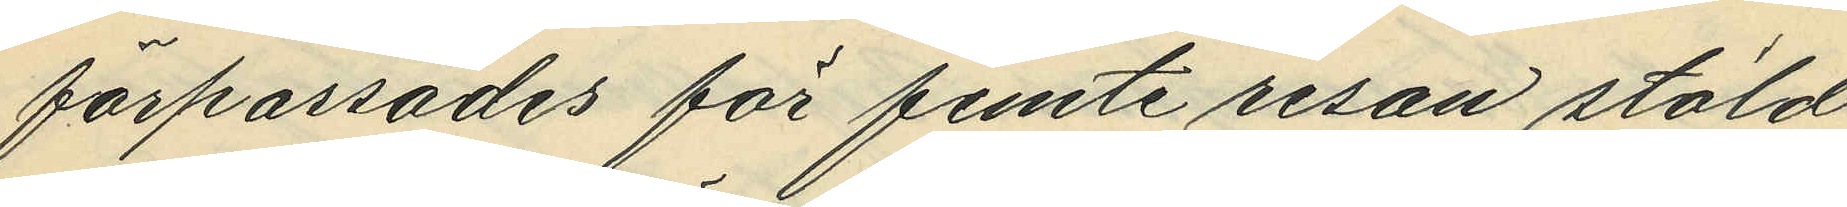förpassades för femte resan stöld
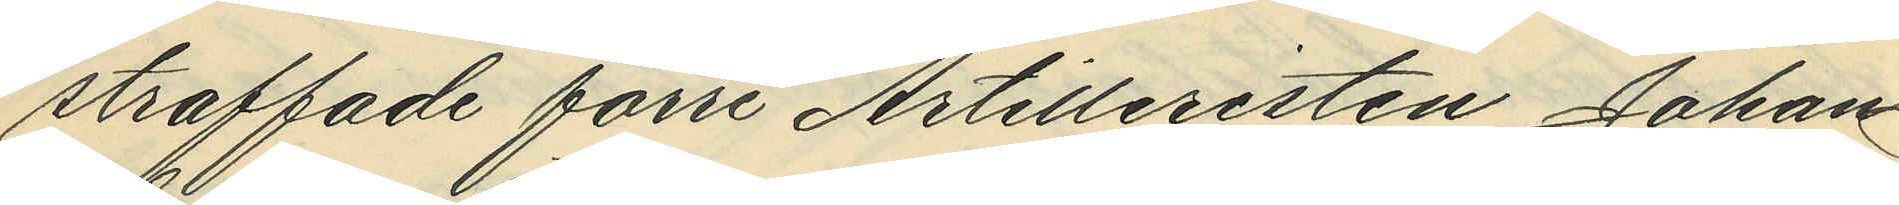straffade förre Artilleristen Johan
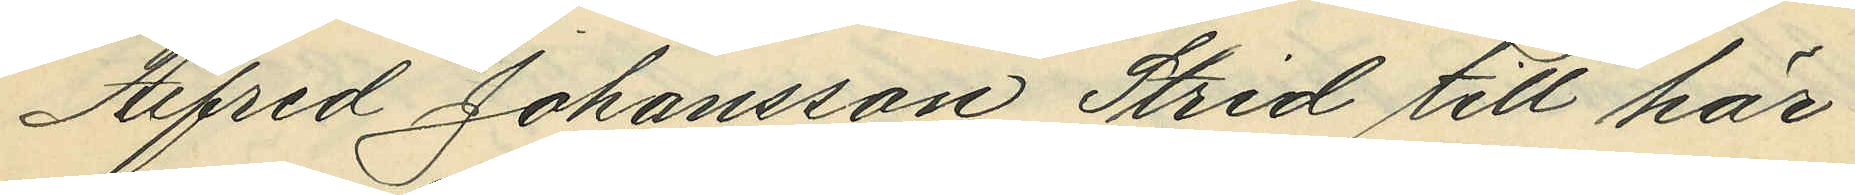Alfred Johansson Strid till här¬
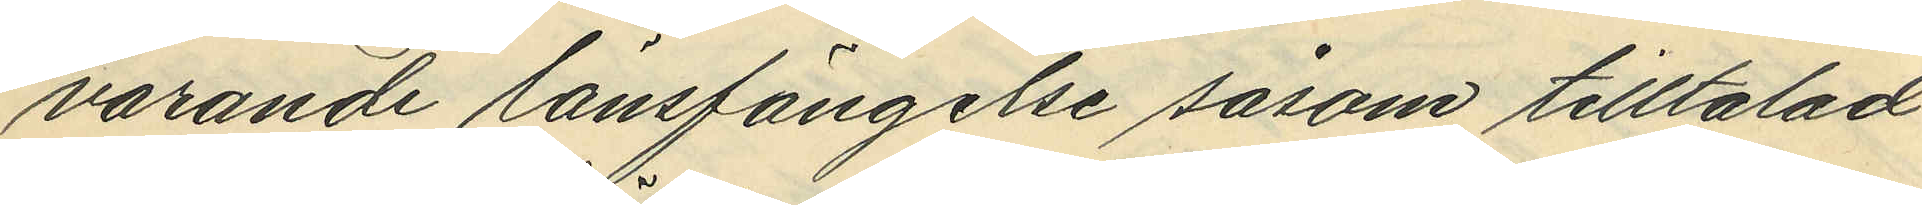varande länsfängelse såsom tilltalad
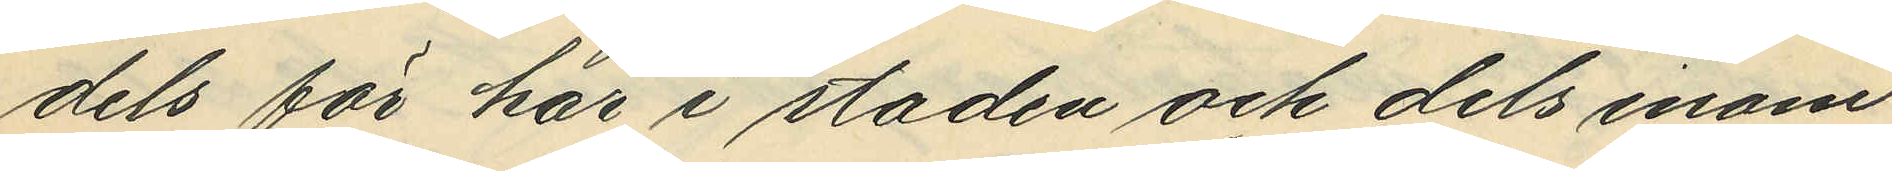dels för här i staden och dels inom
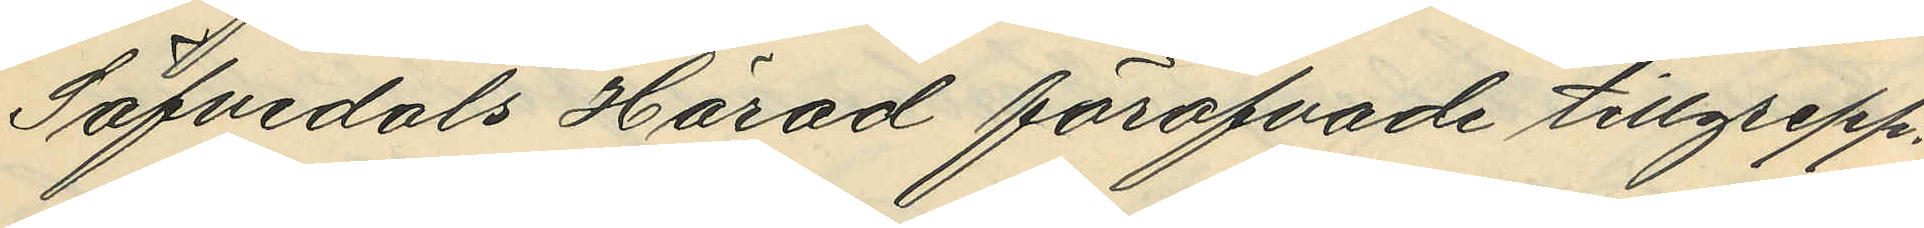Säfvedals Härad föröfvade tillgrepp.
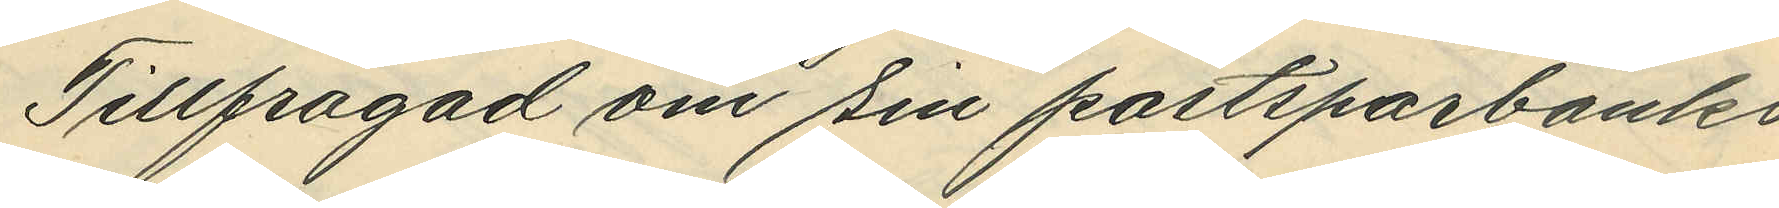Tillfrågad om sin postsparbanks¬
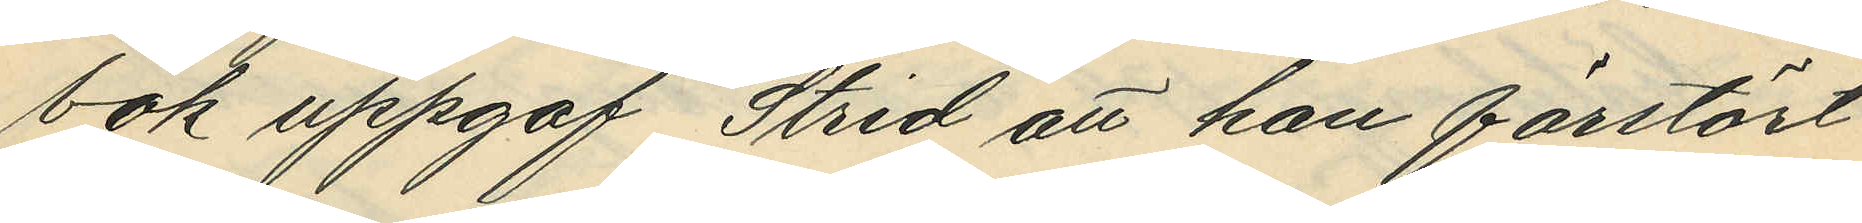bok uppgaf Strid att han förstört
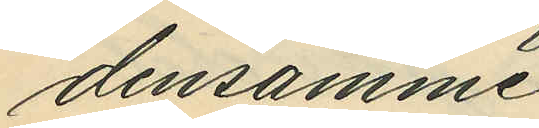densamme.
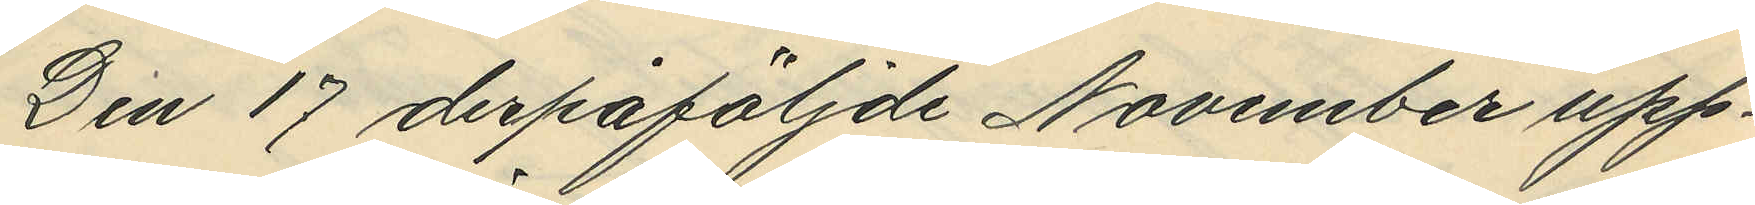Den 17 derpåföljande November upp¬
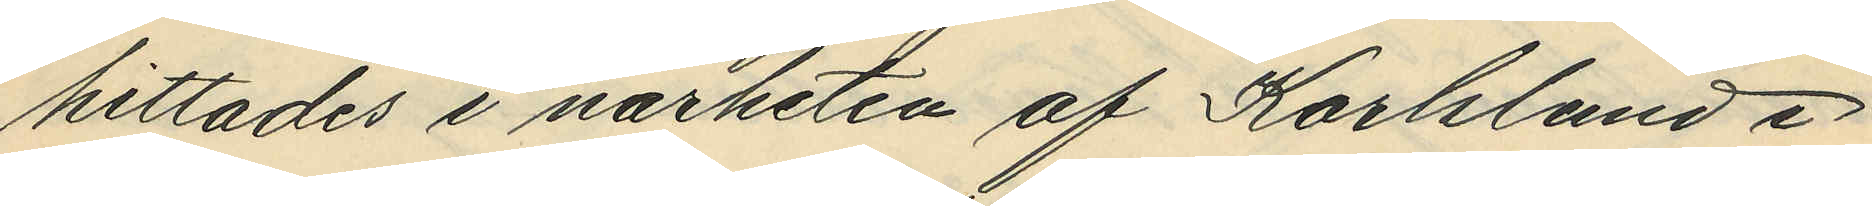hittades i närheten af Karlslund i
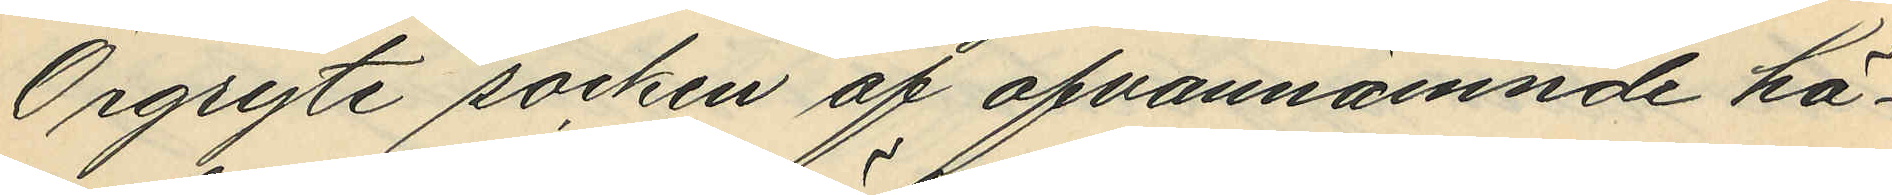Örgryte socken af ofvannämnde hä¬
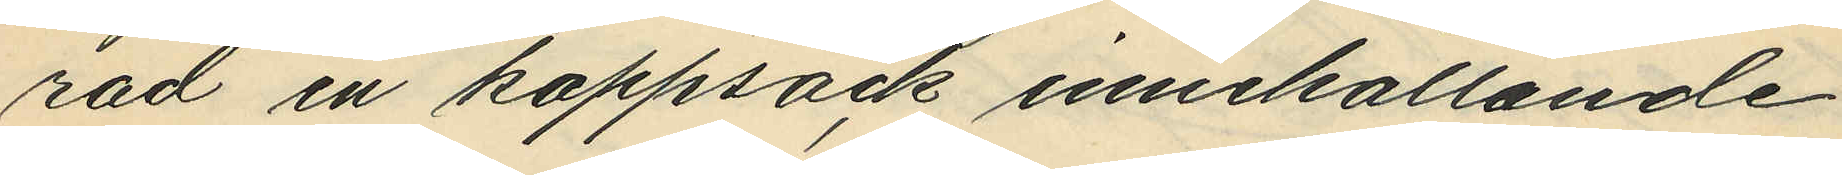rad en kappsäck innehållande
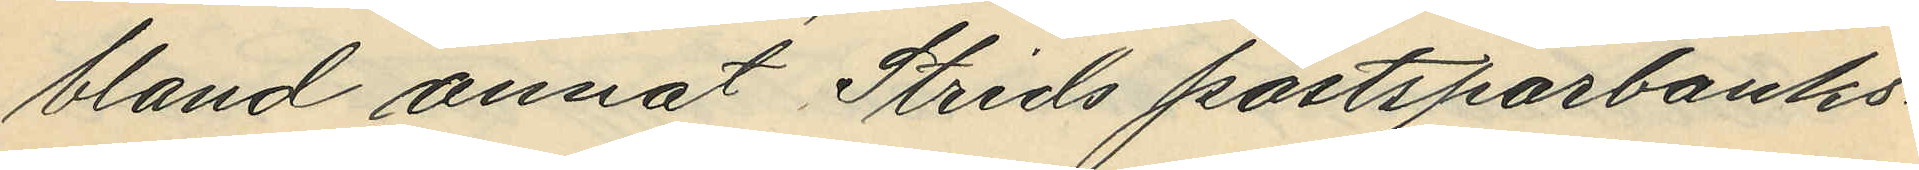bland annat Strids postsparbanks¬
